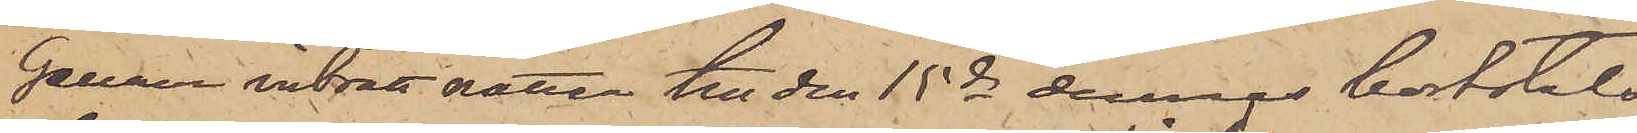Genom inbrott natten till den 15 ds dennes bortstals
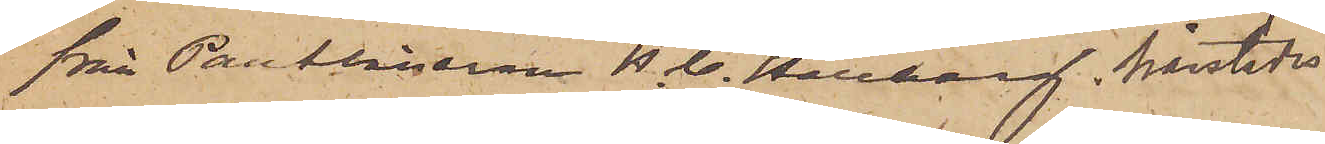från Pantlånaren A. C. Hellberg, härstädes
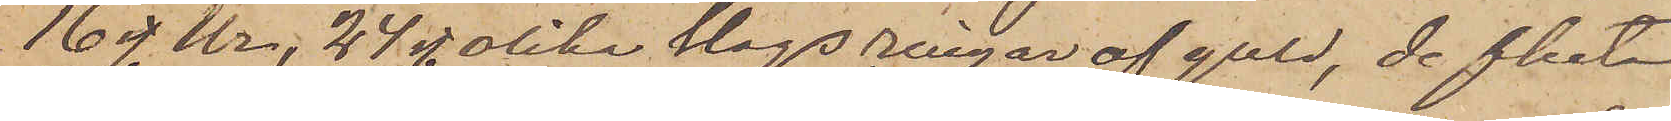16 st. Ur, 24 st. olika slags ringar af guld, de flesta
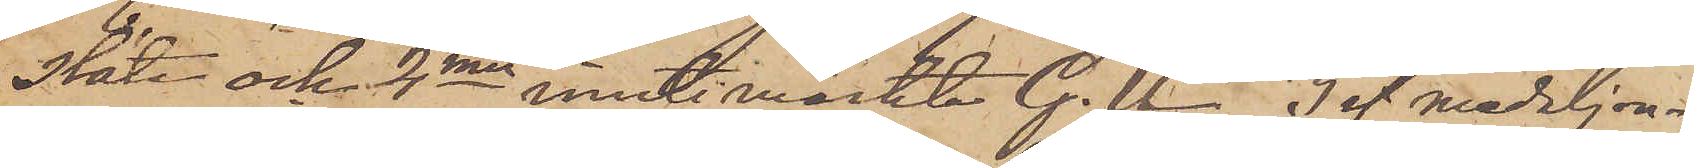släta och 2nne inuti märkte G. U., 3 st. medaljon¬
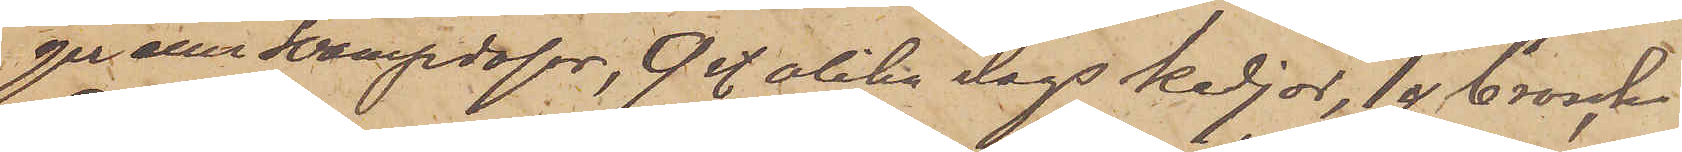ger eller Svampdosor, 9 st. olika slags kedjor, 1 st. brosch
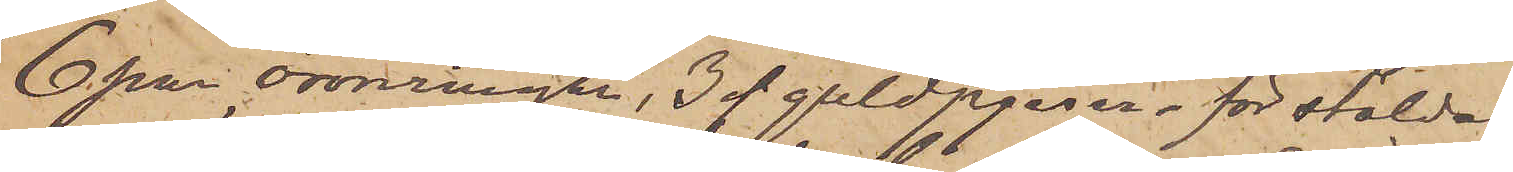6 par öronringar, 3 st guldpjeser - för stölden
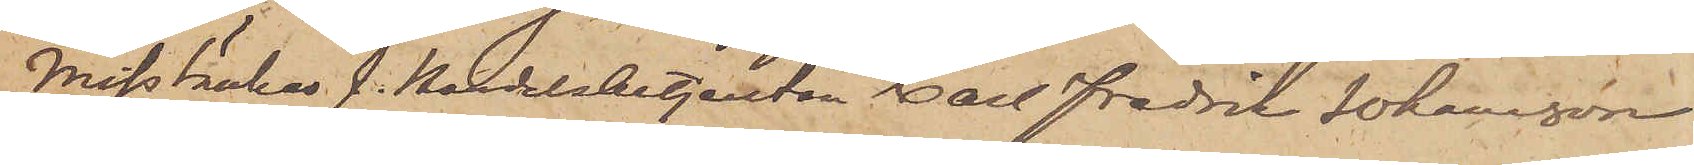Misstänkes f. Handelsbetjenten Carl Fredrik Johansson
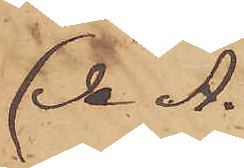(Se A.)
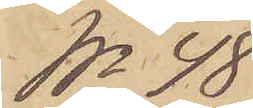No 48
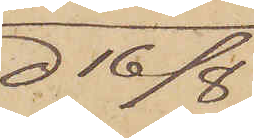d 16/8
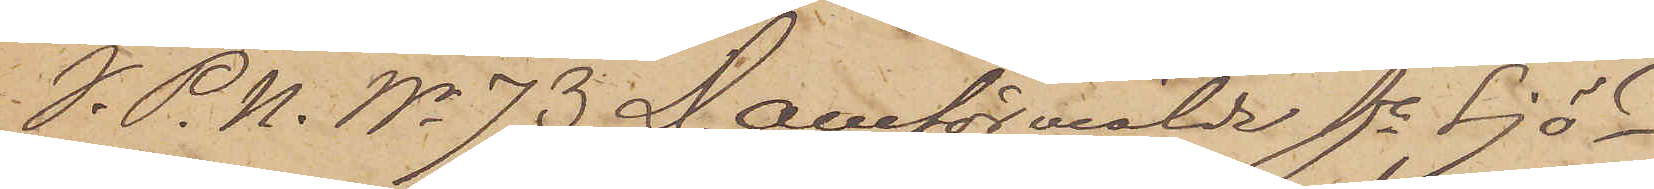I. P. U. No 73 D. omförmälde fe Sjö¬
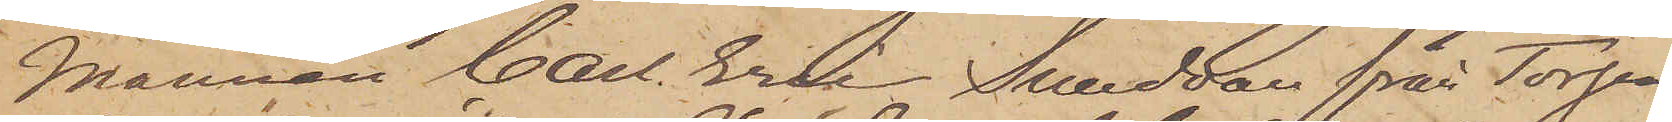mannen Carl Erik Sundvall från Torpa
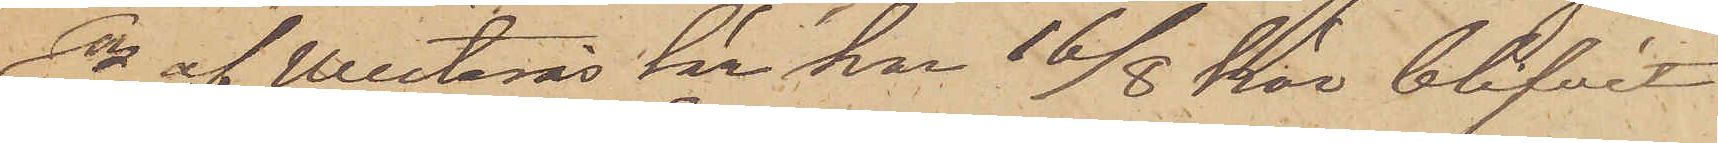Sn af Westerås Län har 16/8 här blifvit
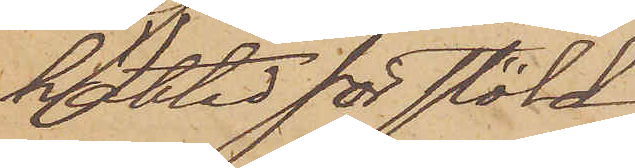häktad för stöld.
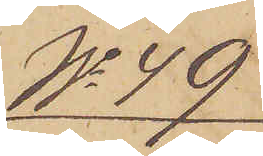No 49
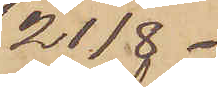21/8.
